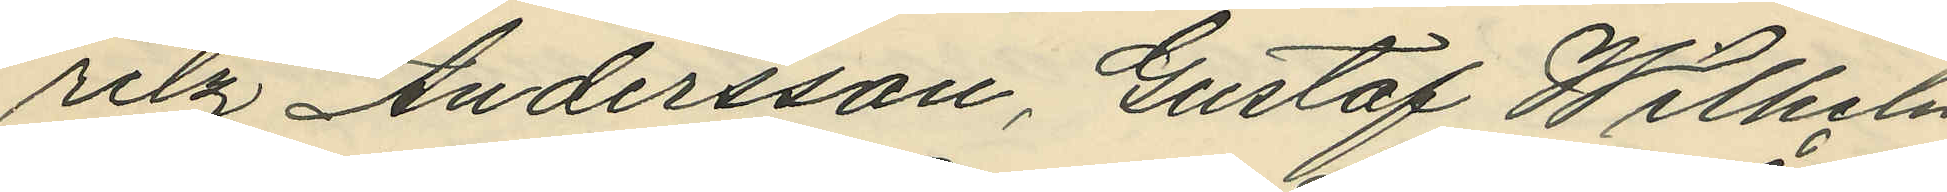ritz Andersson, Gustaf Wilhelm
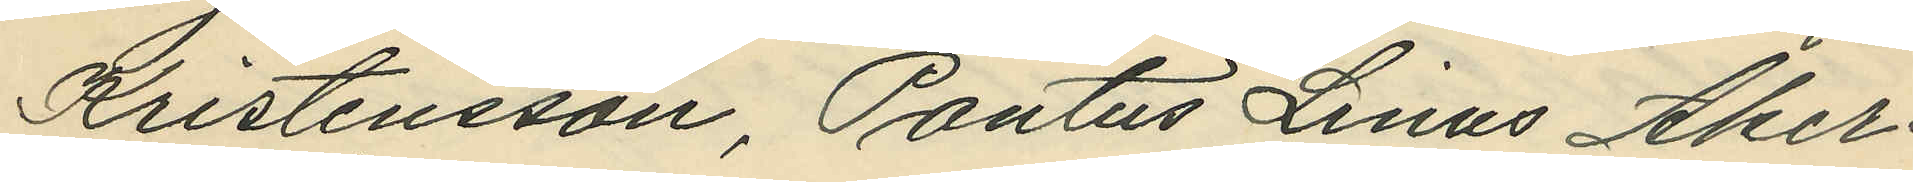Kristensson, Pontus Linus Åker¬
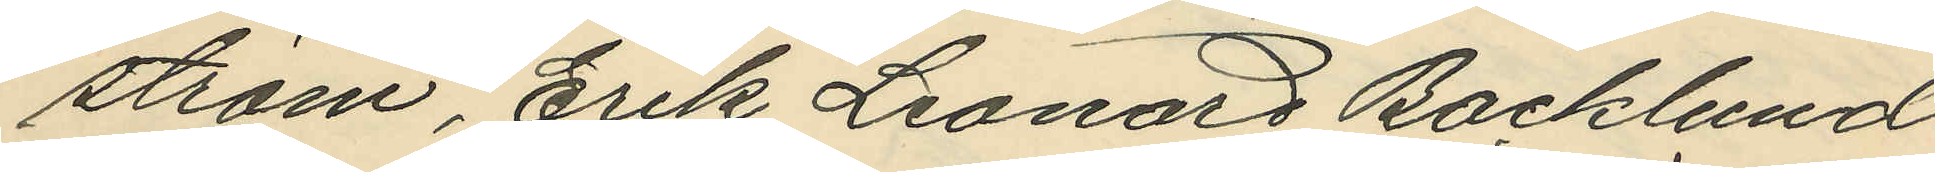ström, Erik Leonard Backlund
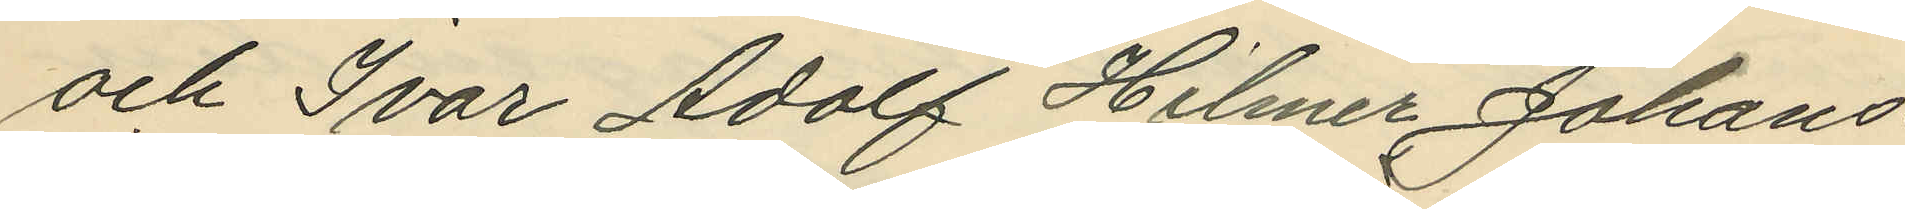och Ivar Adolf Hilmer Johans¬
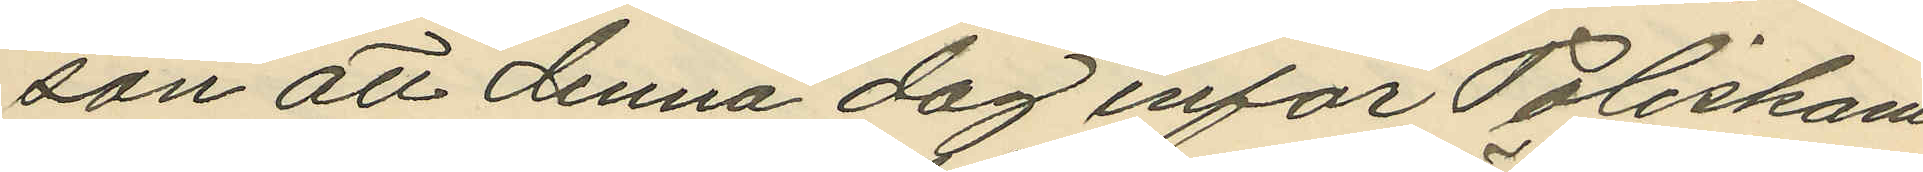son att denna dag inför Poliskam
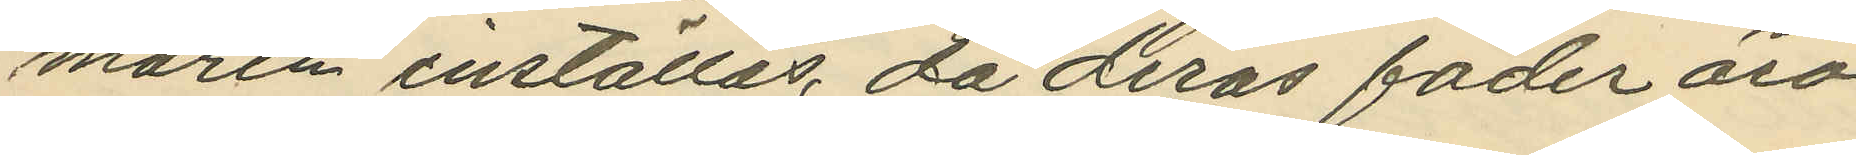maren inställas, då deras fäder äro
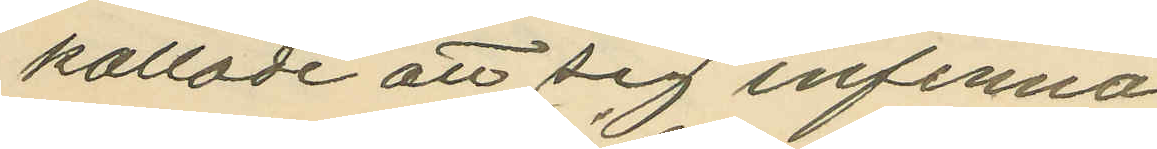kallade att sig infinna.
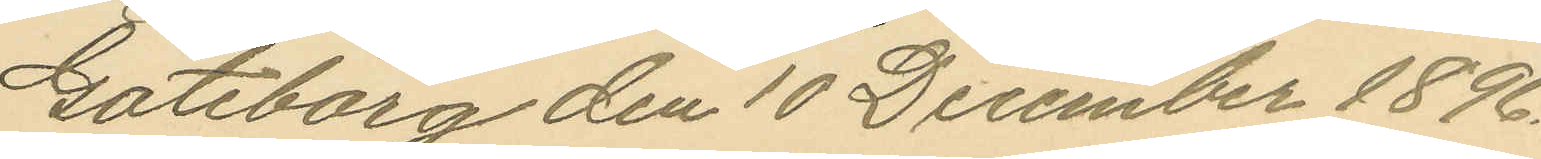Göteborg den 10 December 1896.
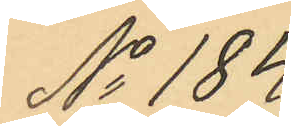No 184.
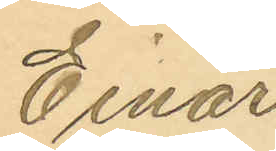Einar
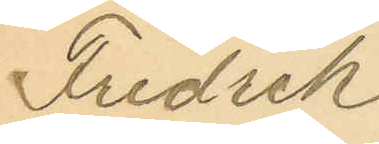Fredrik
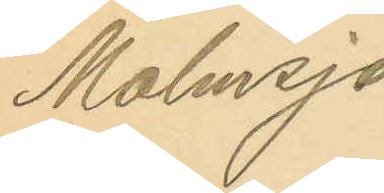Malmsjö
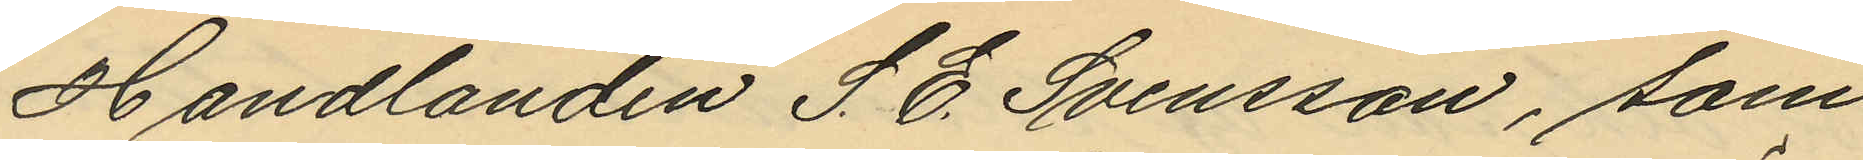Handlanden S. E. Svensson, som
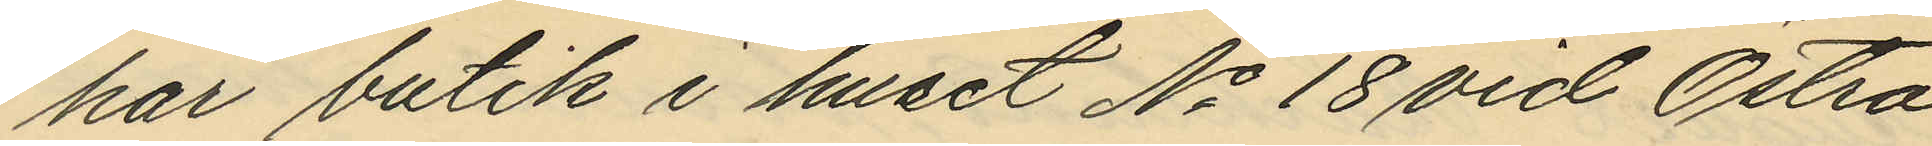har butik i huset No 18 vid Östra
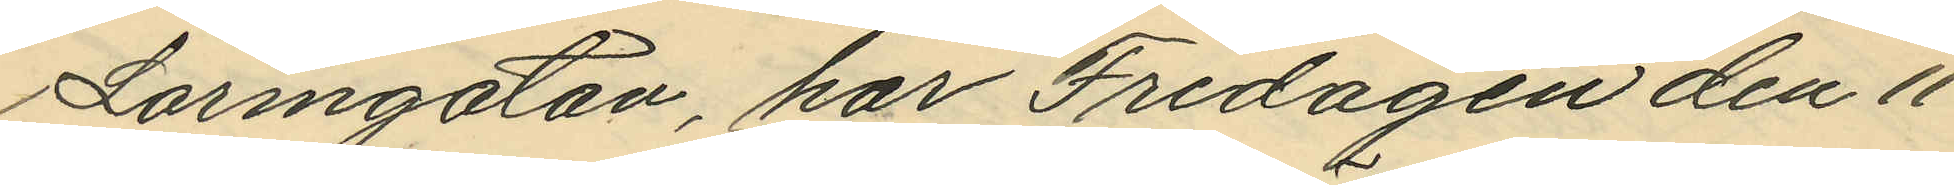Larmgatan, har Fredagen den 11
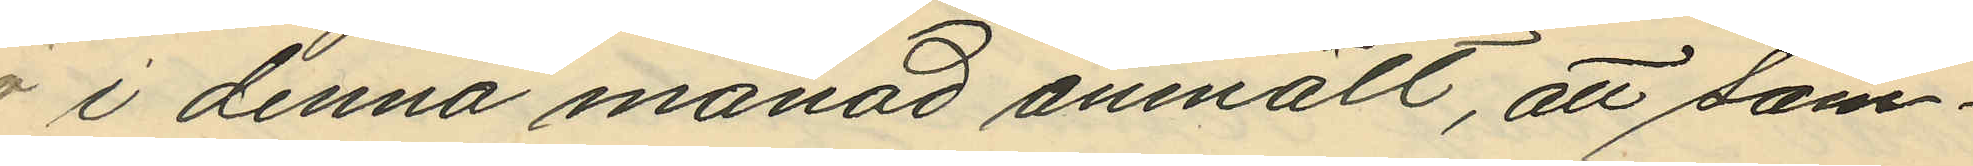 i denna månad anmält, att sam¬
